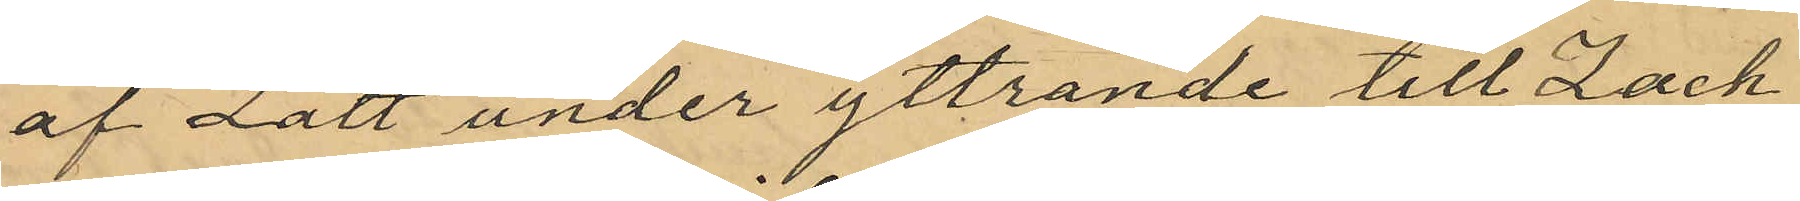af Lätt under yttrande till Zach¬
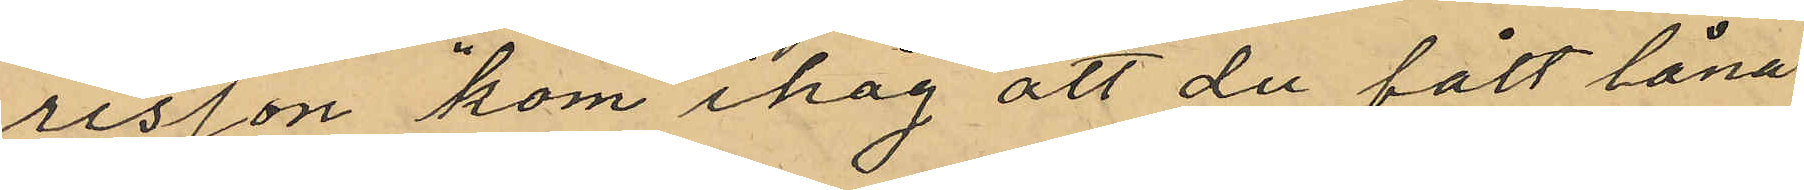risson kom ihåg att du fått låna
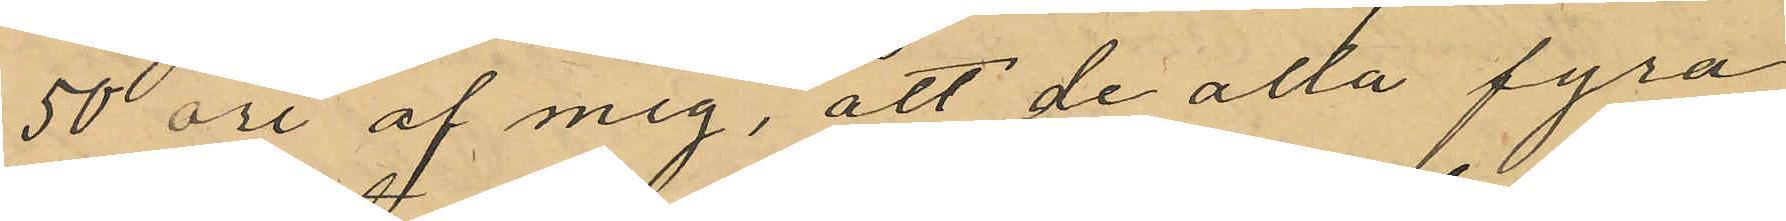50 öre af mig, att de alla fyra
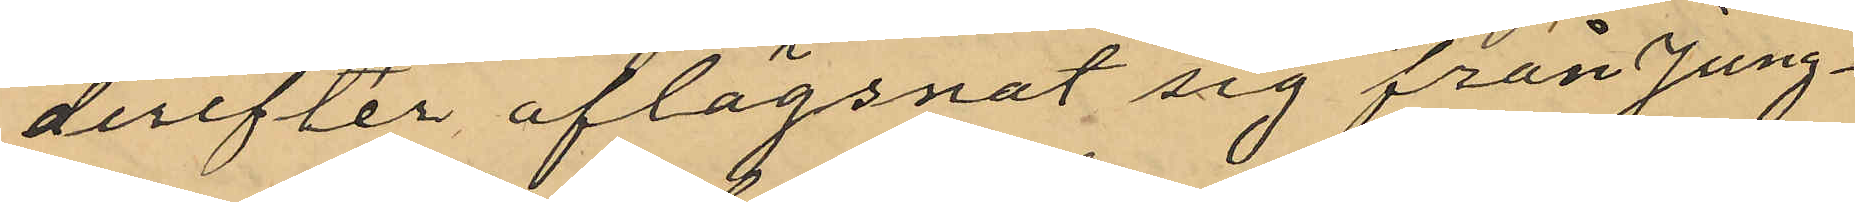derefter aflägsnat sig från Jung¬
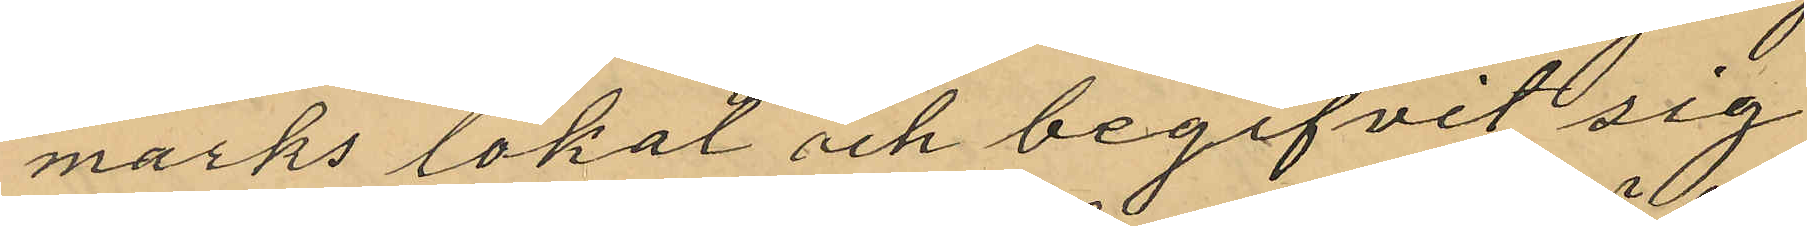marks lokal och begifvit sig
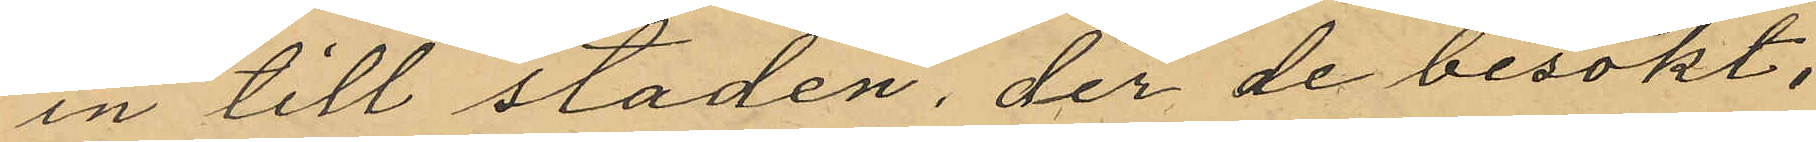in till staden, der de besökt,
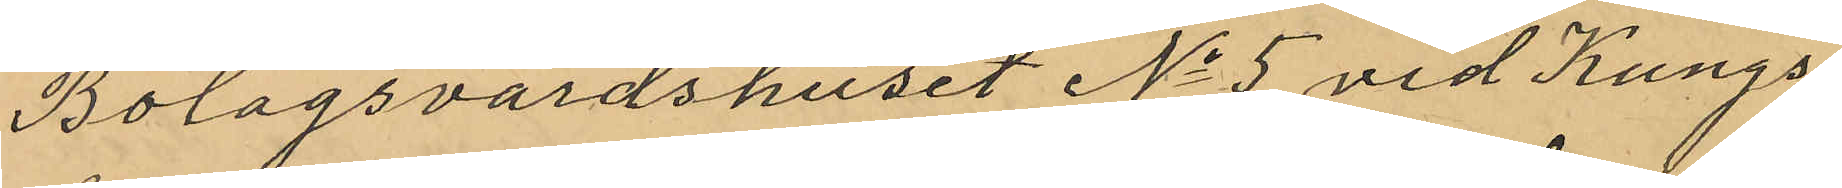Bolagsvärdshuset No 5 vid Kungs¬
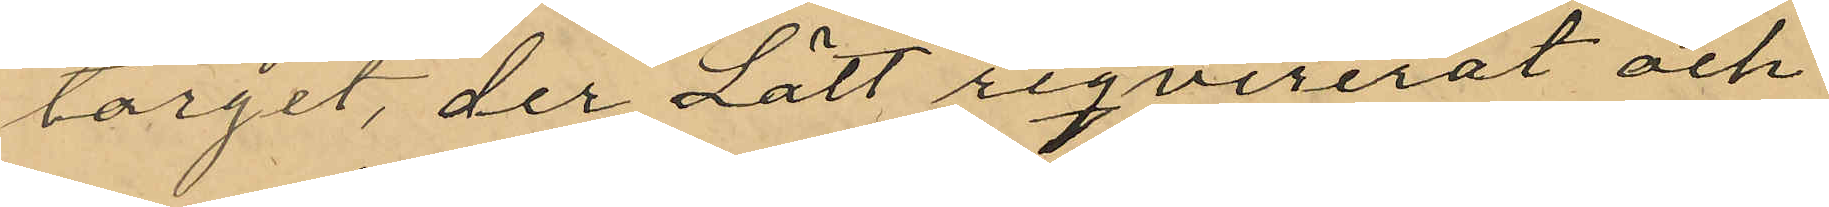torget, der Lätt reqvirerat och
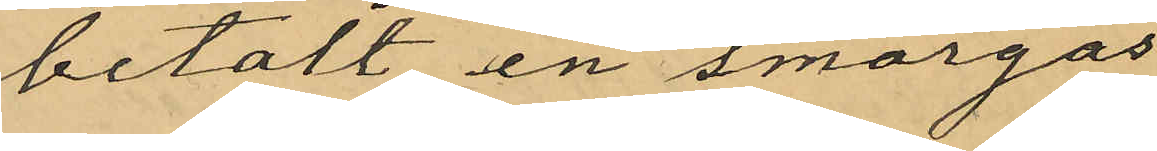betalt en smörgås
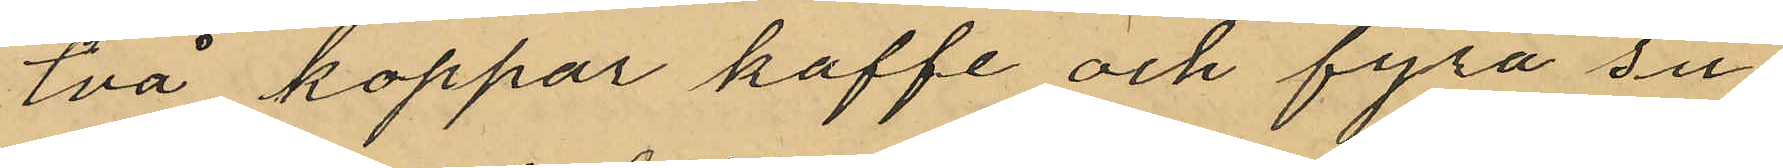två koppar kaffe och fyra su¬
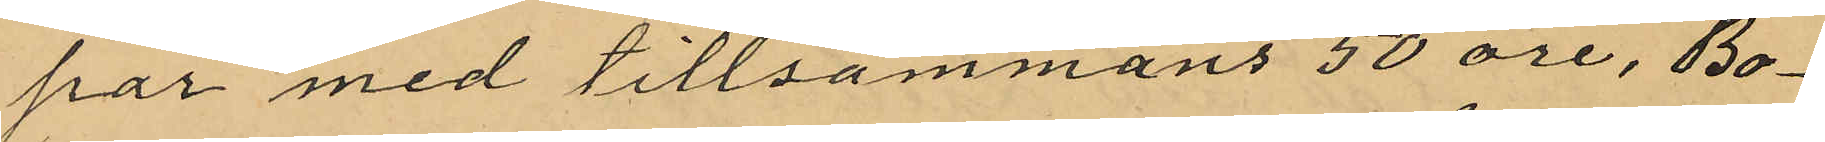par med tillsammans 50 öre, Bo¬
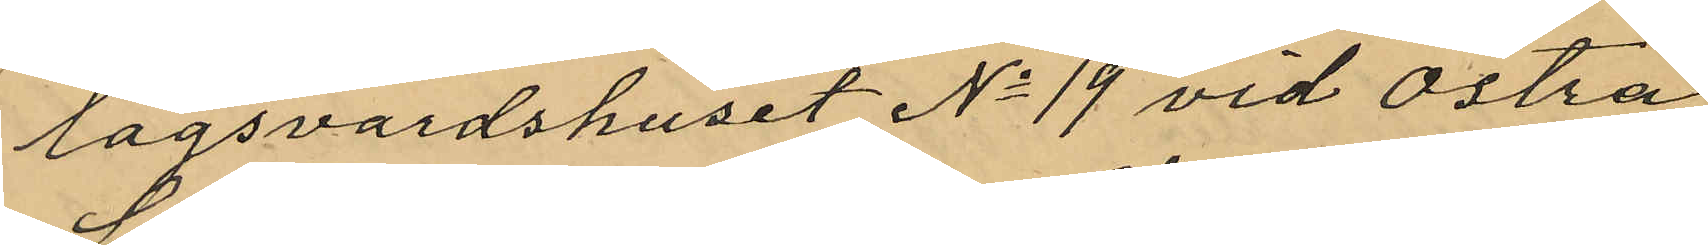lagsvardshuset No 19 vid Östra
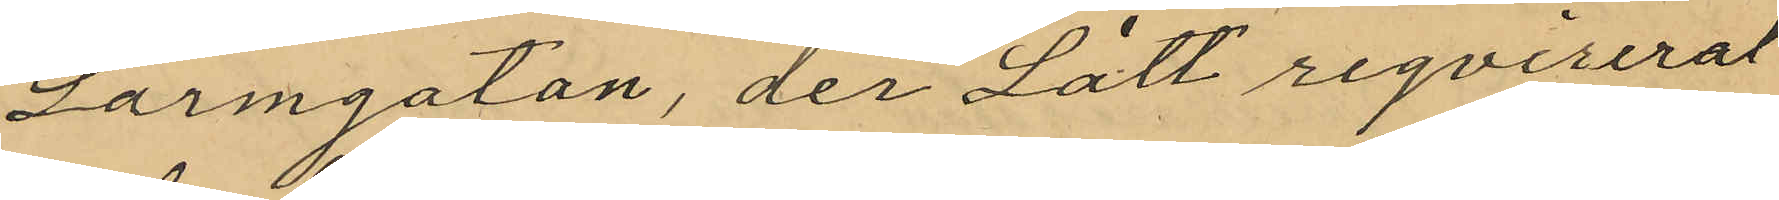Larmgatan, der Lätt reqvirerat
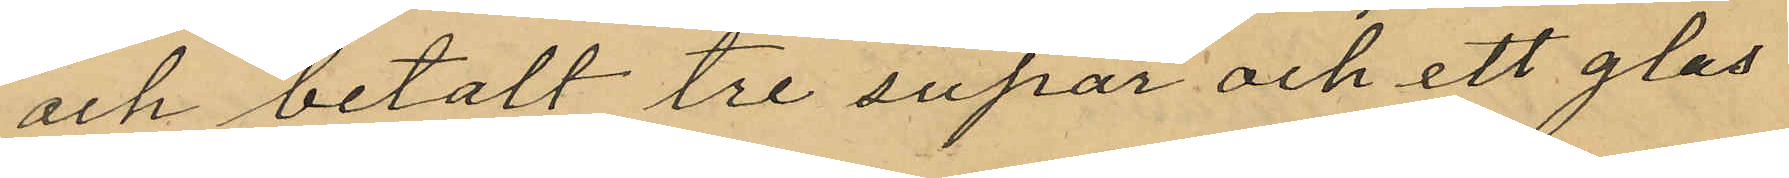och betalt tre supar och ett glas
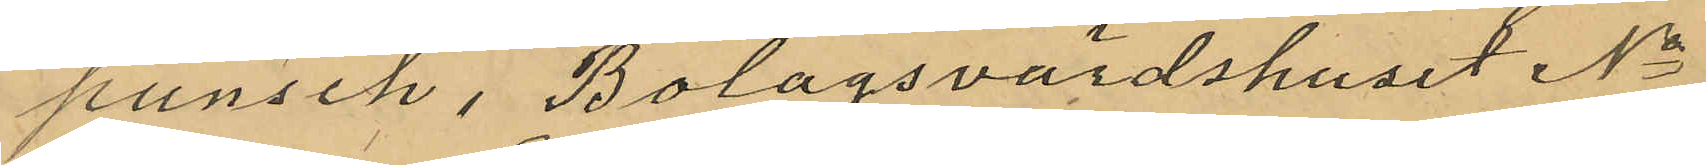punsch, Bolagsvärdshuset No
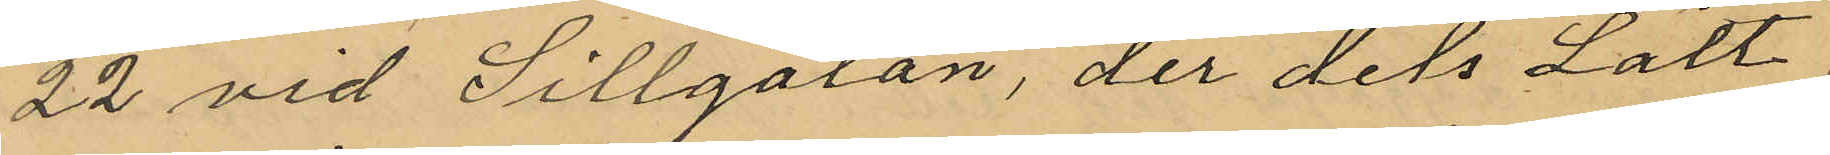22 vid Sillgatan, der dels Lätt
